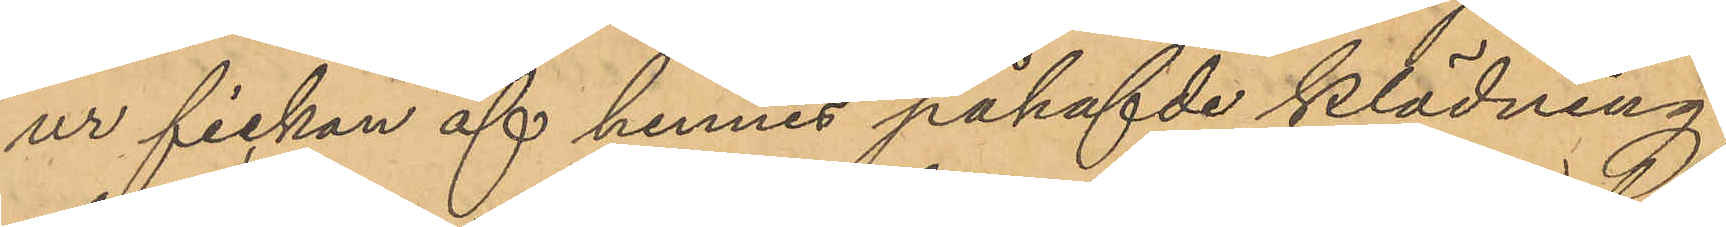ur fickan af hennes påhafvde klädning
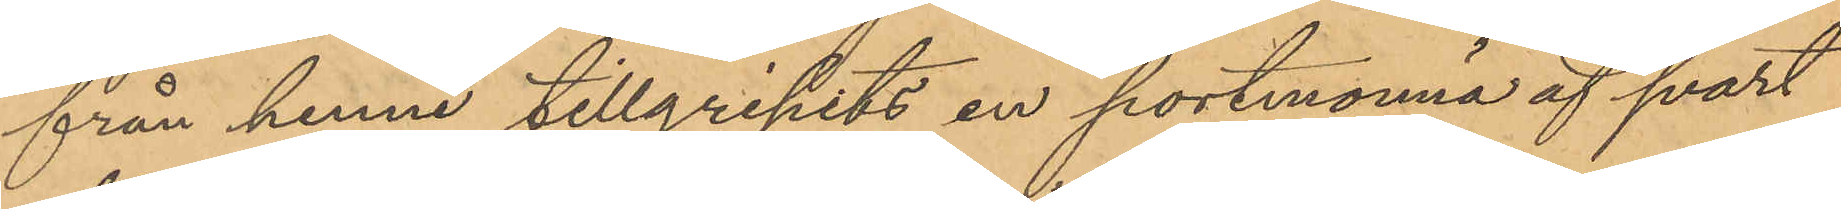från henne tillgripits en portmonnä af svart
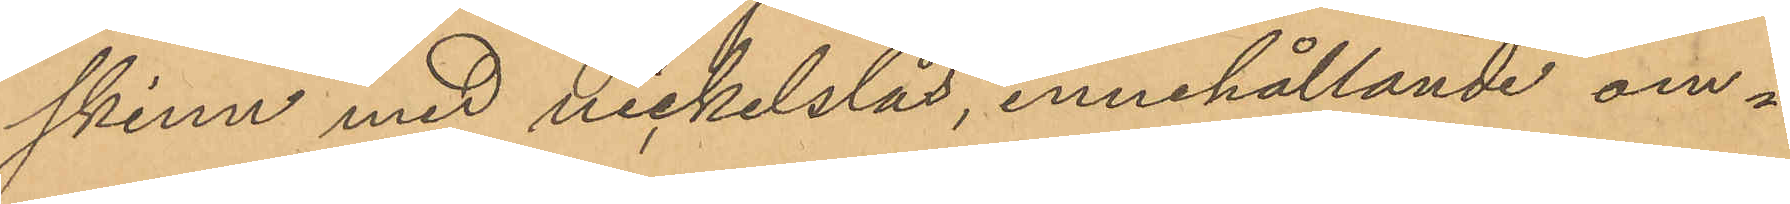skinn med nickelslås, innehållande om¬
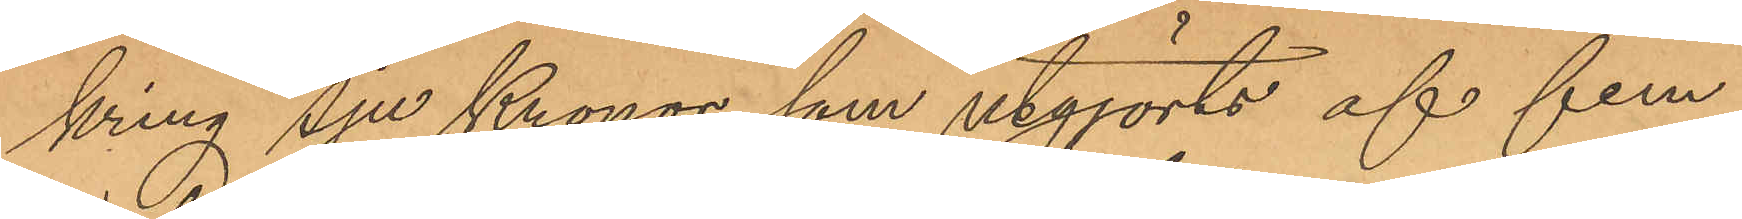kring Sju Kronor, som utgjorts af fem
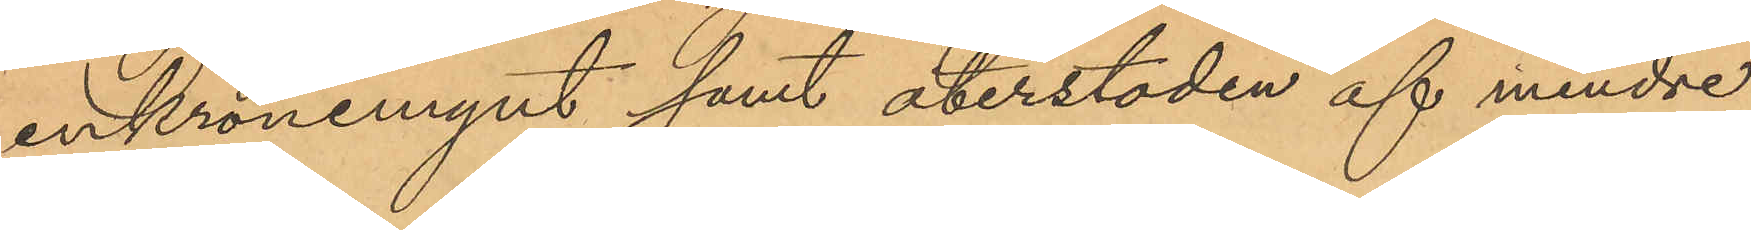enkronemynt samt återstoden af mindre
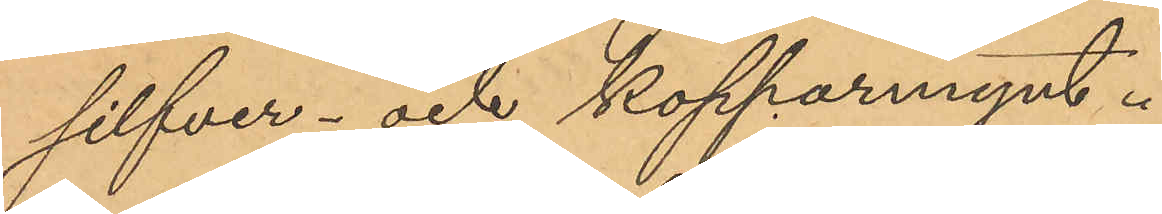silfver- och kopparmynt.
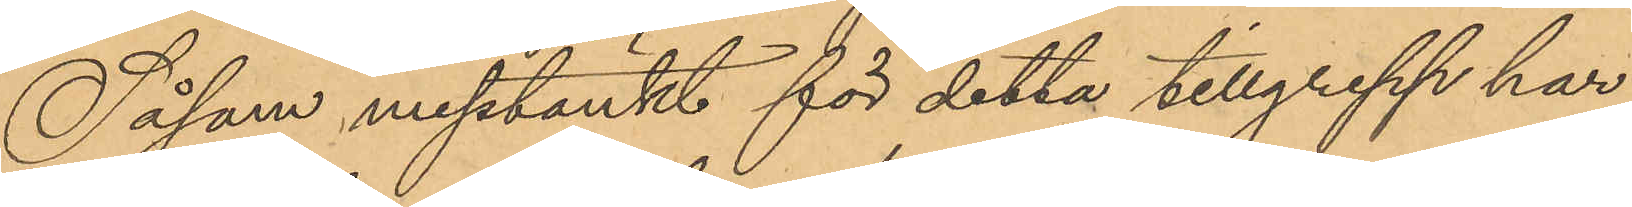Såsom misstänkt för detta tillgrepp har
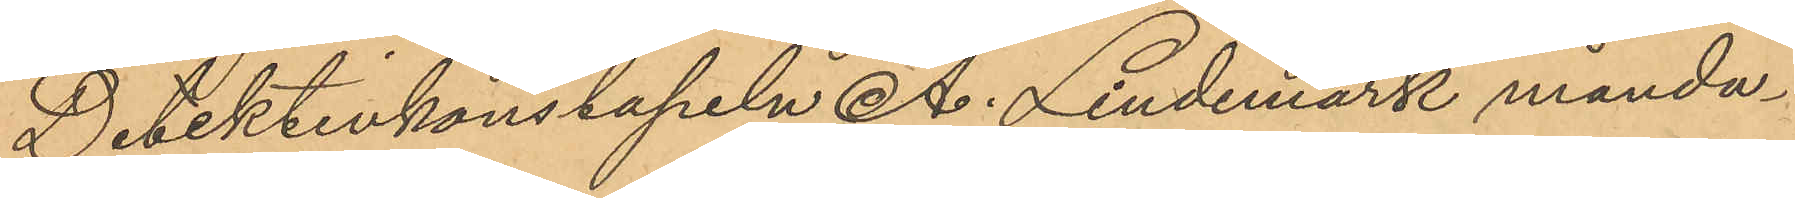Detektivkonstapeln A. Lindemark månda¬
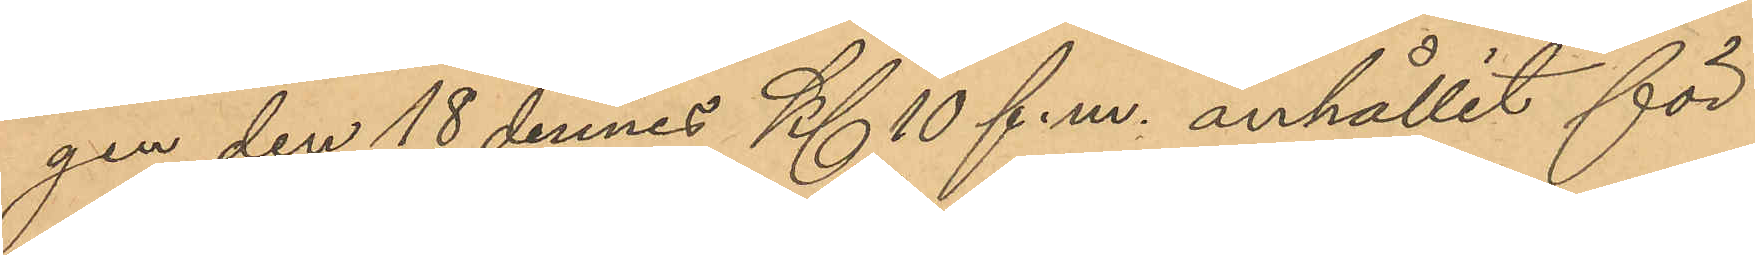gen den 18 dennes Kl. 10 f.m. anhållit för
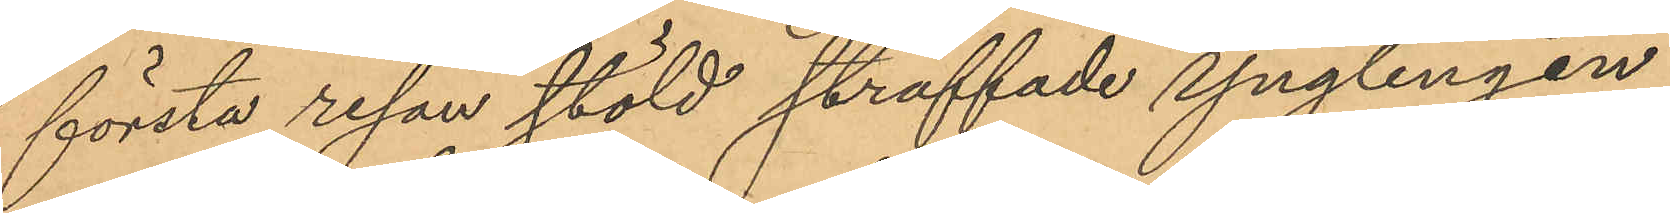första resan stöld straffade ynglingen
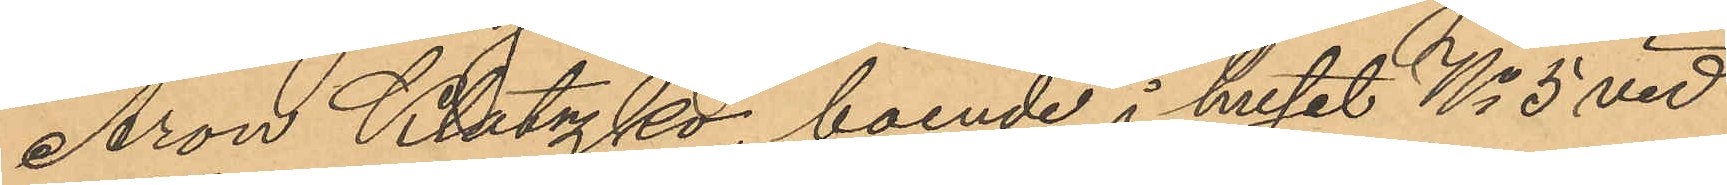Aron Klatzko, boende i huset No 5 vid
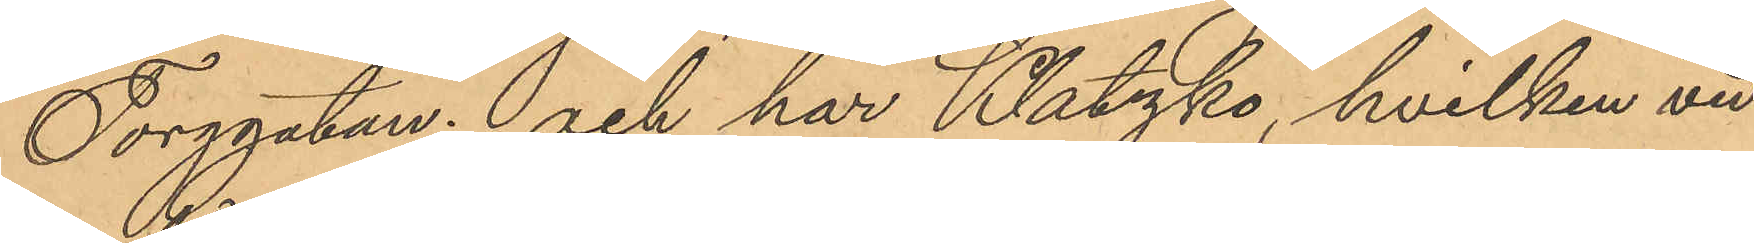Torggatan: och har Klatzko, hvilken vid
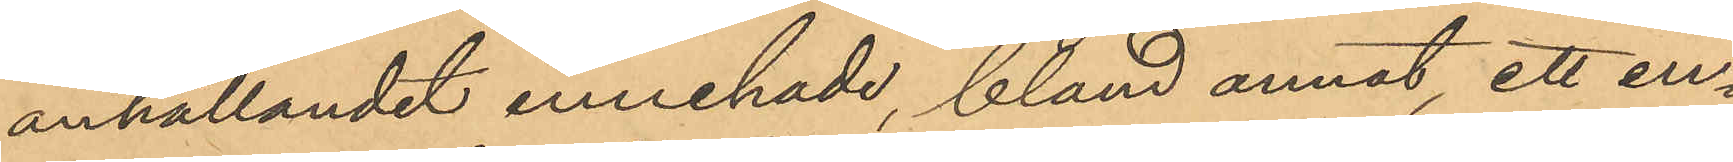anhållandet innehade, bland annat, ett en¬
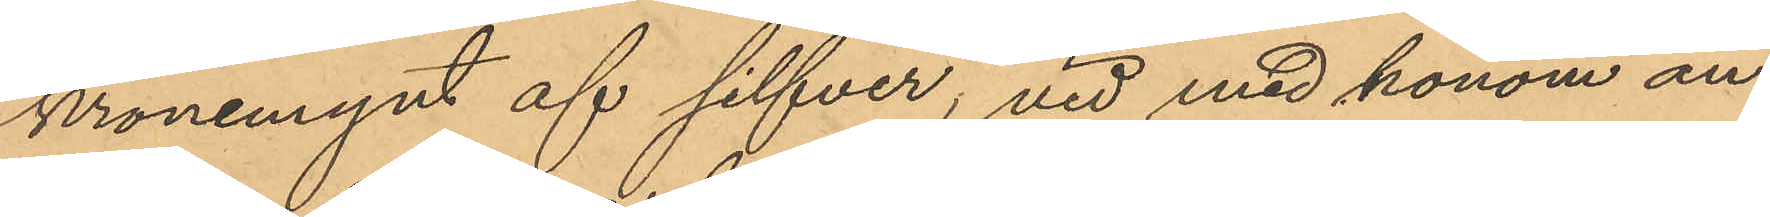kronemynt af silfver; vid med honom an¬
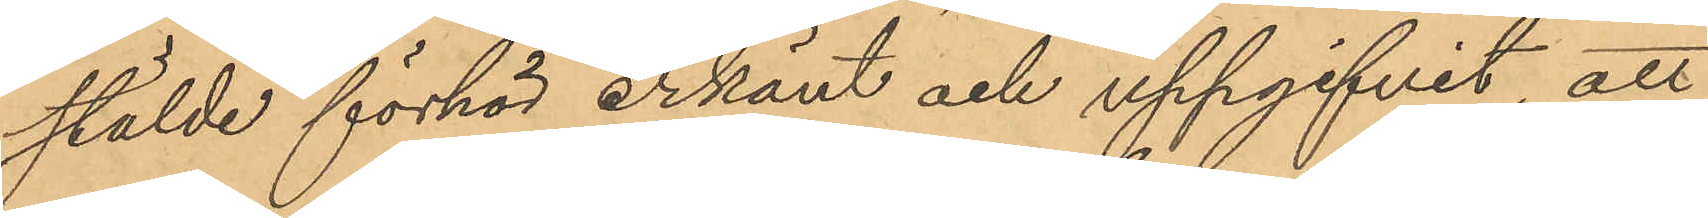stälde förhör erkänt och uppgifvit, att
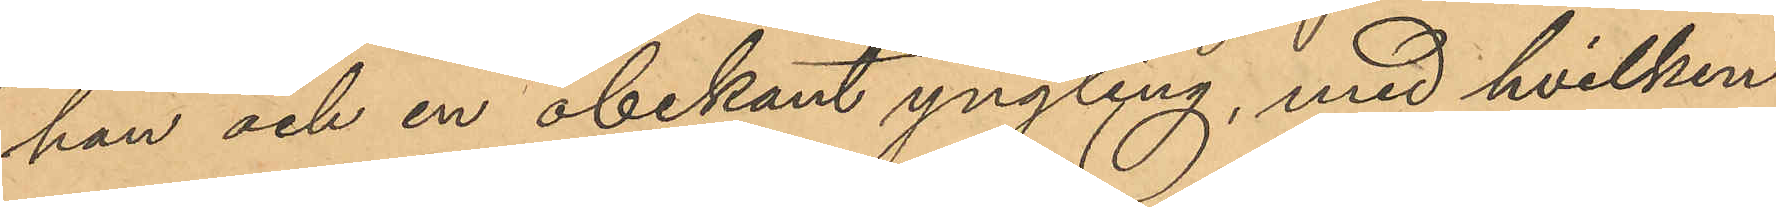han och en obekant yngling, med hvilken
